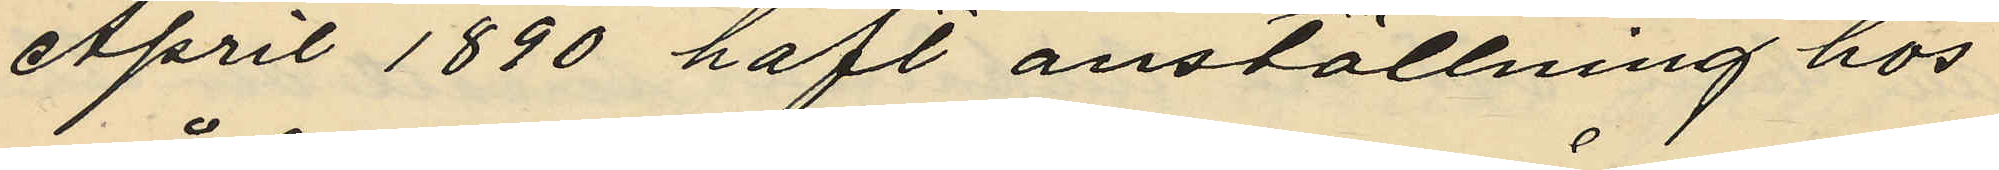April 1890 haft anställning hos
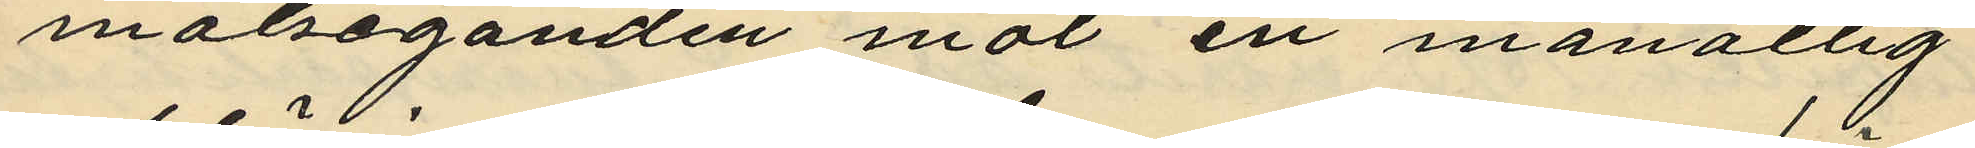målseganden mot en månatlig
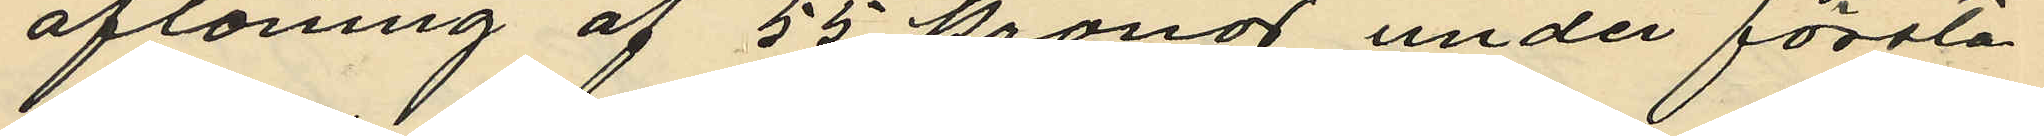aflöning af 55 kronor under första
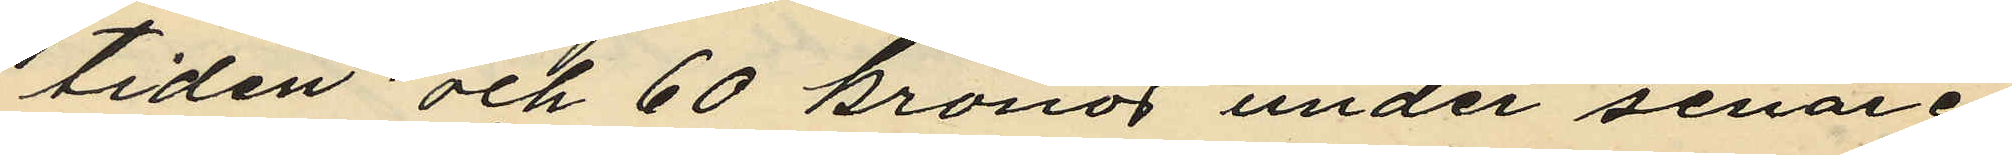tiden och 60 kronor under senare
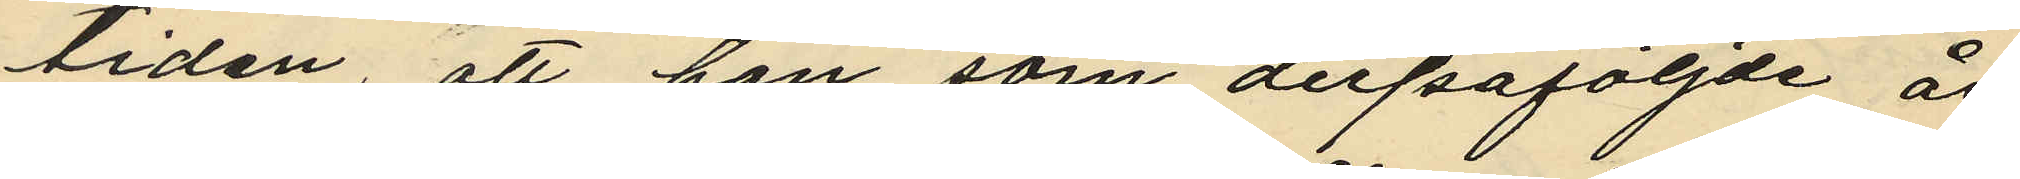tiden, att han som derpåföljde år
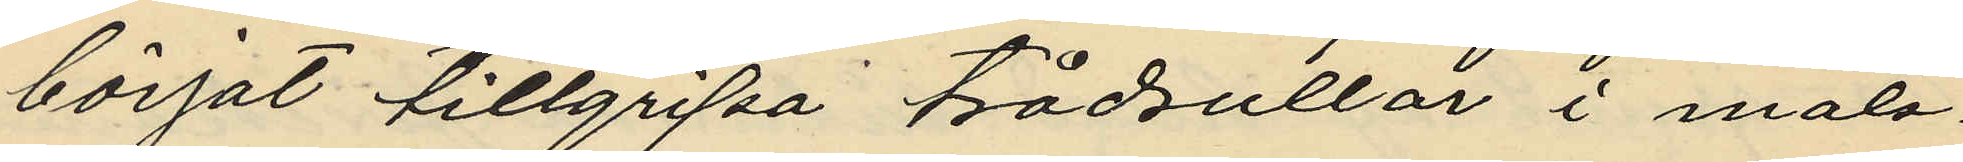börjat tillgripa trådrullar i måls¬
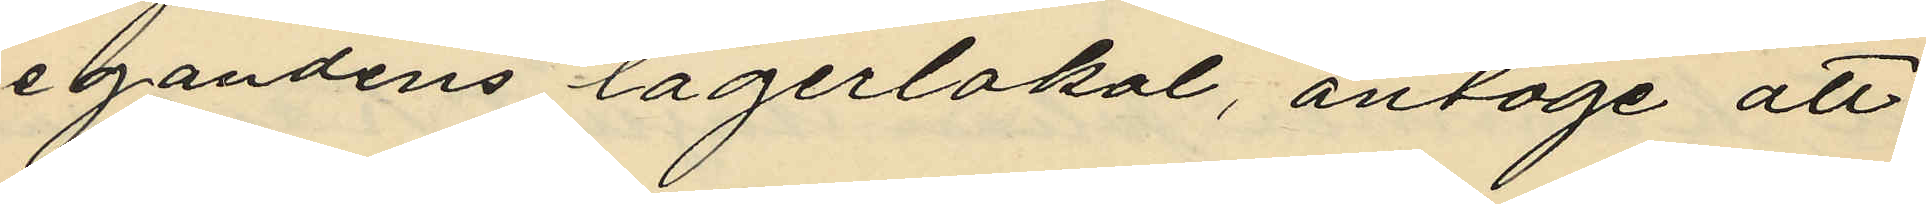egandens lagerlokal, antoge att
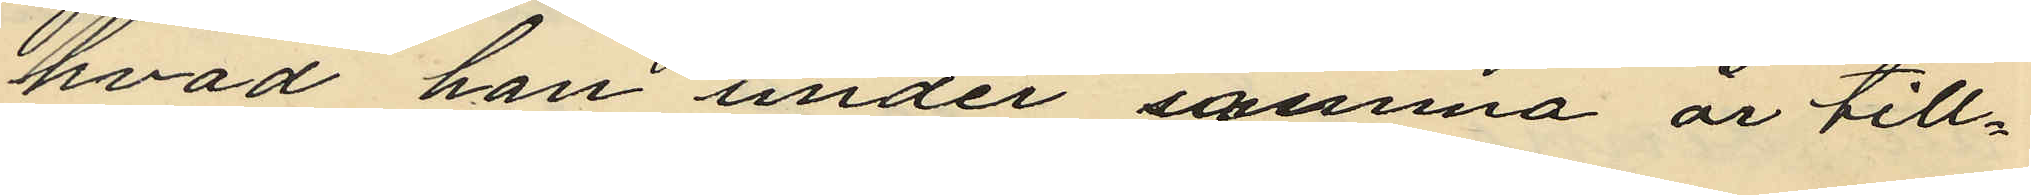hvad han under samma år till¬
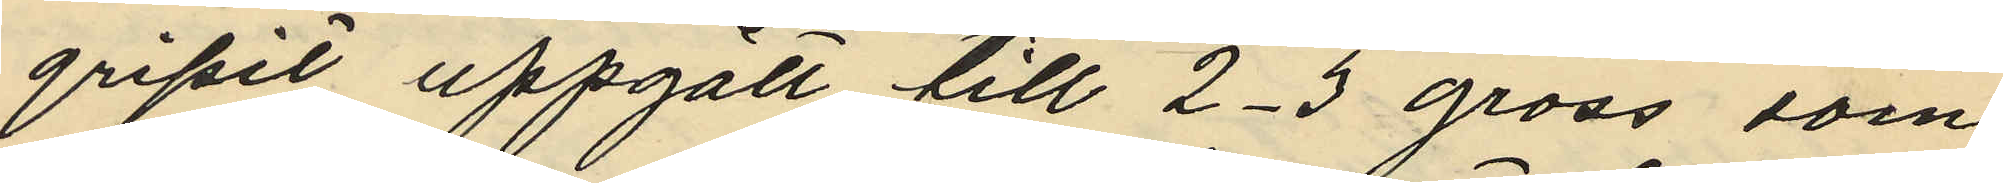gripit uppgått till 2-3 gross som
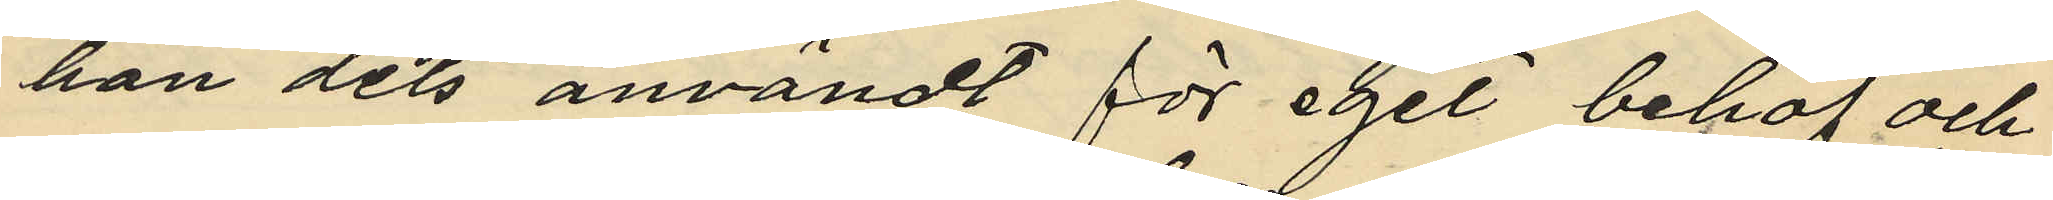han dels användt för eget behof och
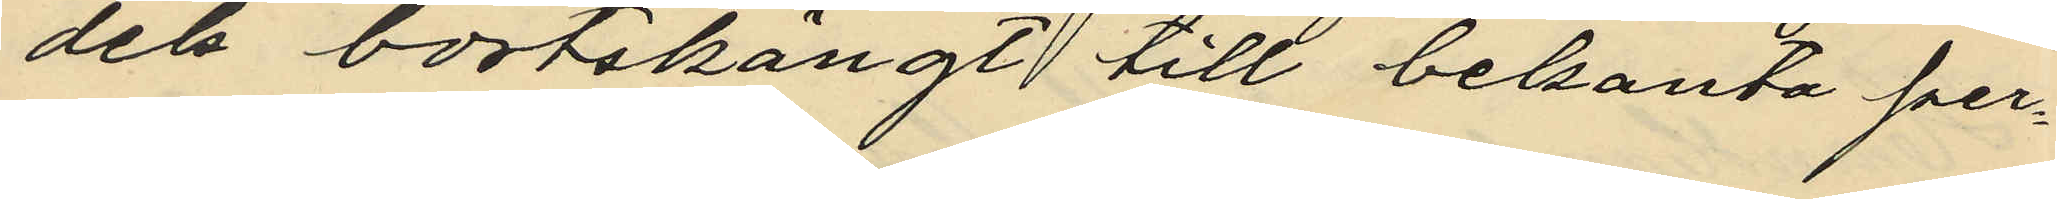dels bortskängt till bekanta per¬
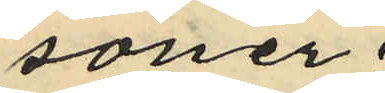soner.
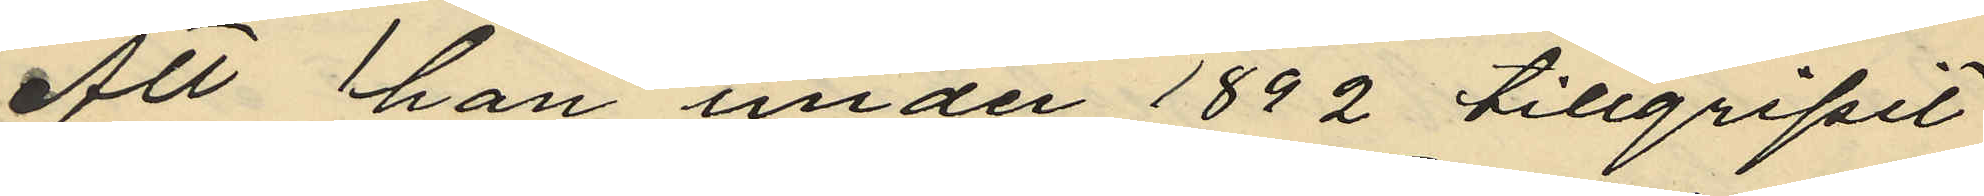Att han under 1892 tillgripit
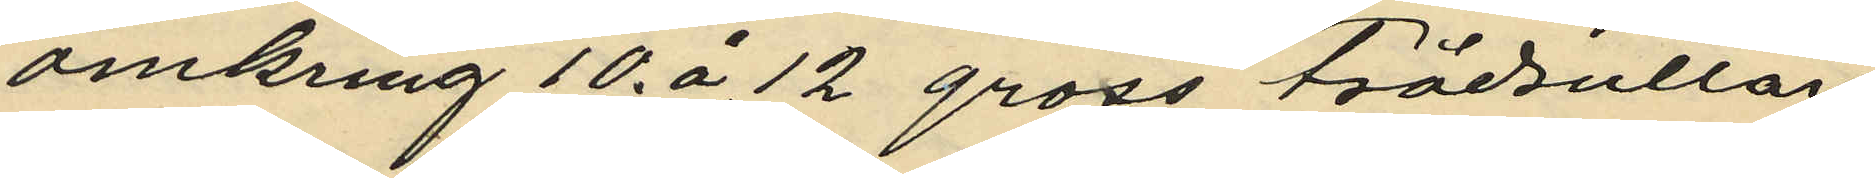omkring 10 á 12 gross trådrullar
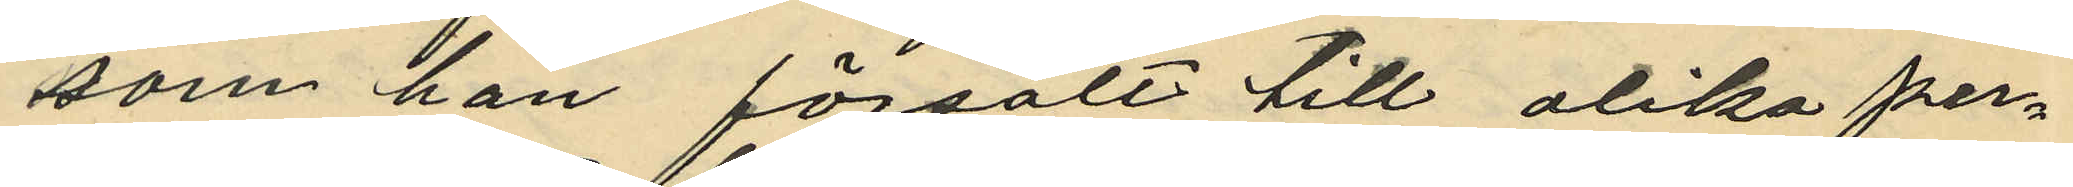som han försålt till olika per¬
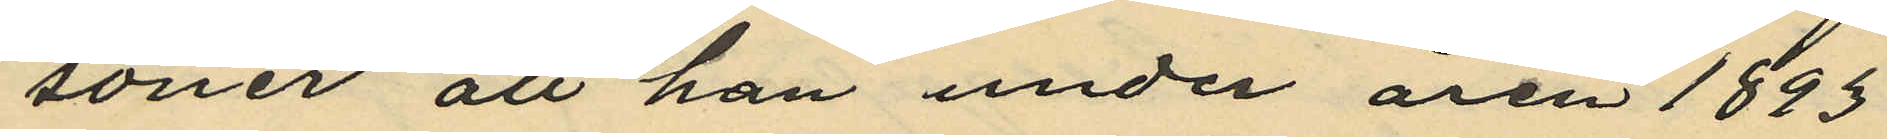soner att han under ären 1893
